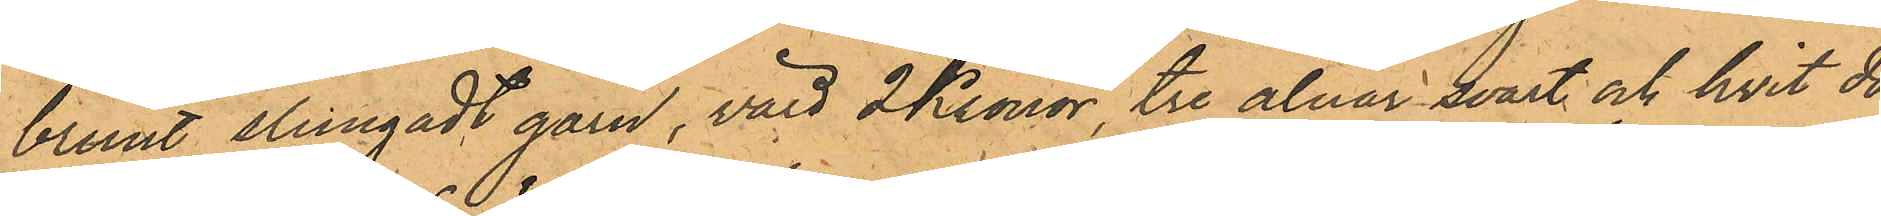brunt slungadt garn, värd 2 Kronor, tre alnar svart och hvit do¬
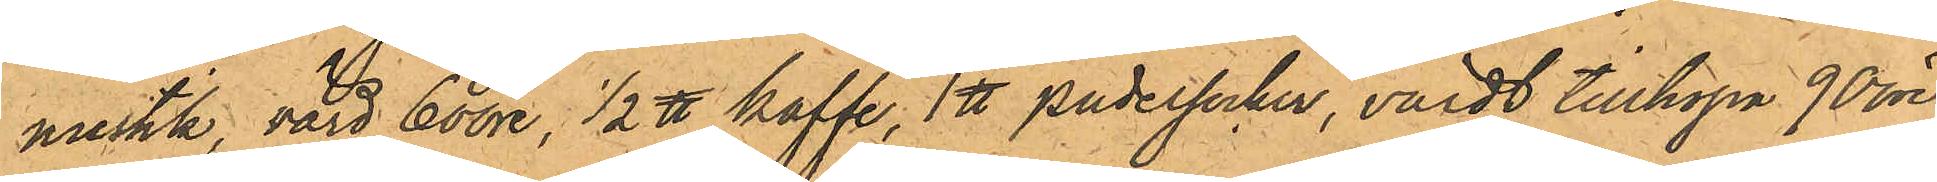mestik, värd 60 öre, 1/2 ℔ kaffe, 1 ℔ pudersocker, värdt tillhopa 90 öre,
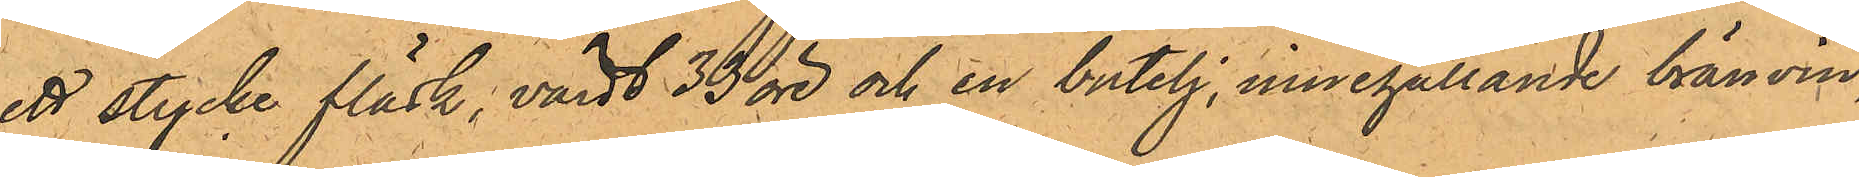ett stycke fläsk, värdt 33 öre och en butelj, innehållande bränvin,
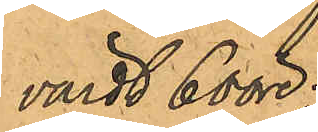värdt 6 ööre.
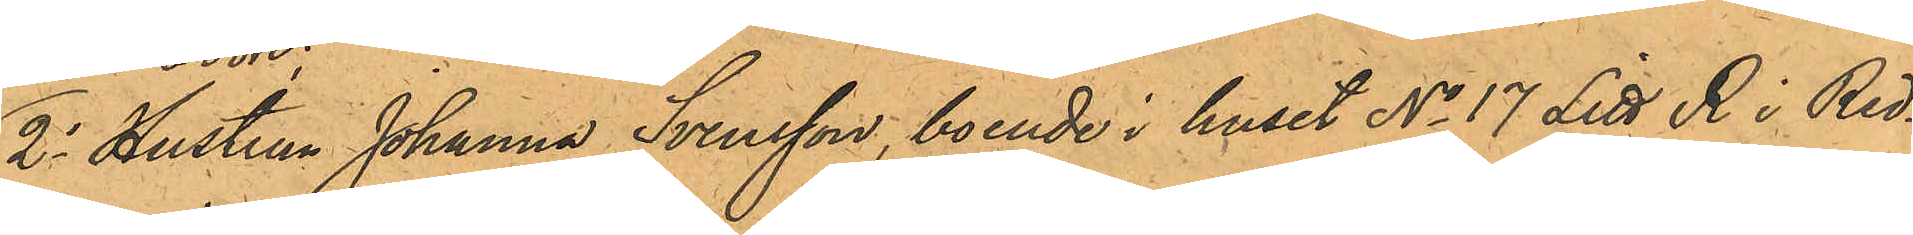2o Hustrun Johanna Svensson, boende i huset No 17 Litt R i Red¬
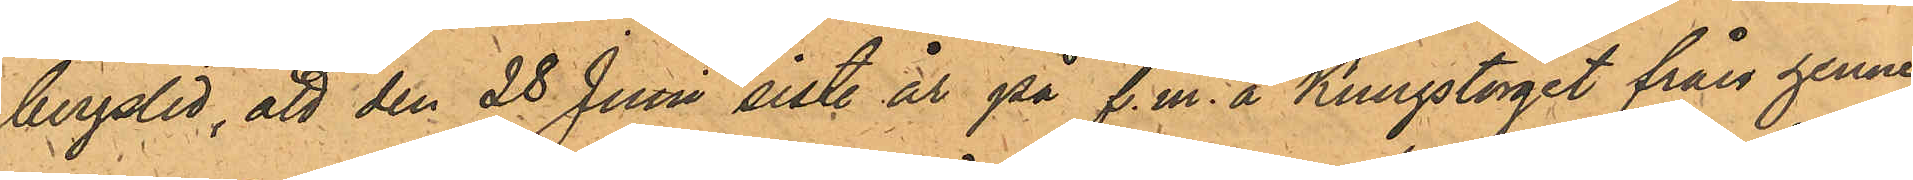bergslid, att den 28 Juni sist. år på f.m. å Kungstorget från henne
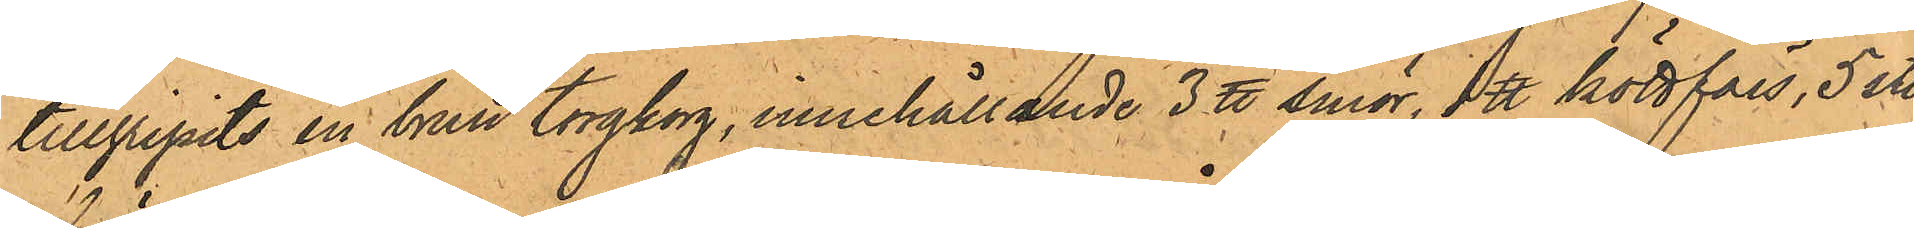tillgripits en brun torgkorg, innehållande 3 ℔ smör, 1 ℔ köttfars, 5 st.
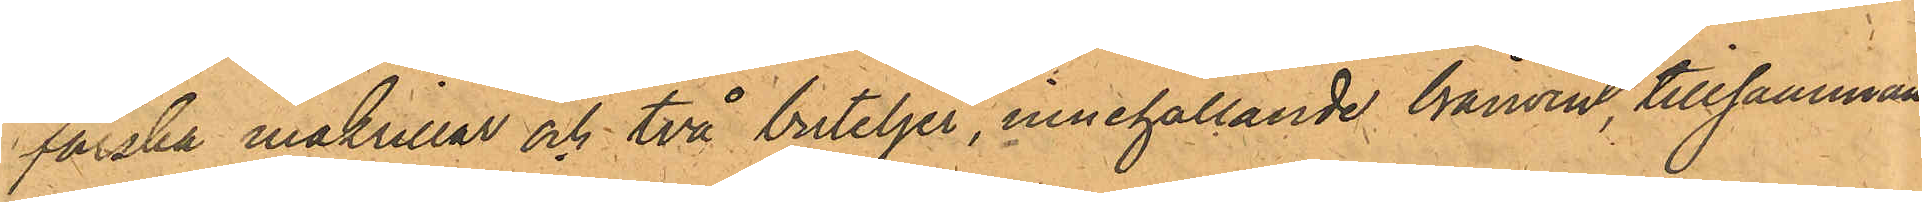färska makrillar och två buteljer, innehållande bränvin, tillsammans
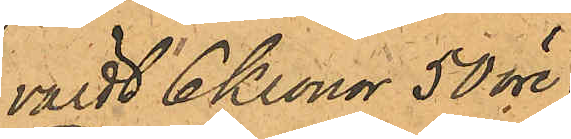värdt 6 Kronor 50 öre.
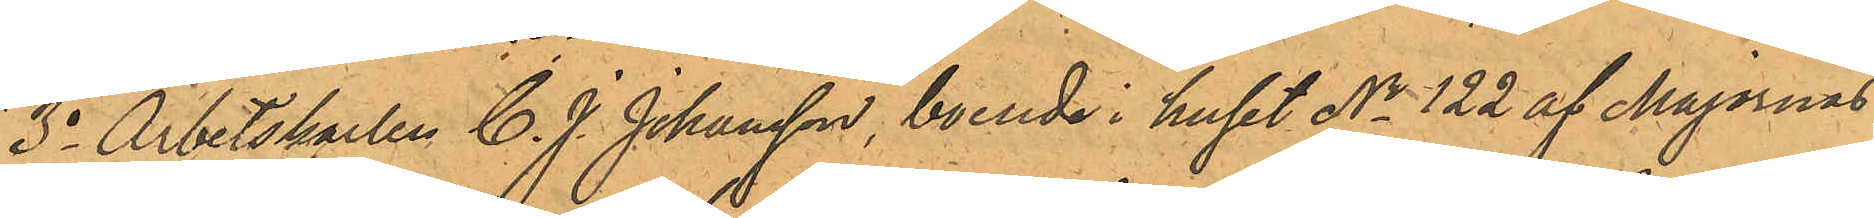3o Arbetskarlen C. J. Johansson, boende i huset No 122 af Majornas
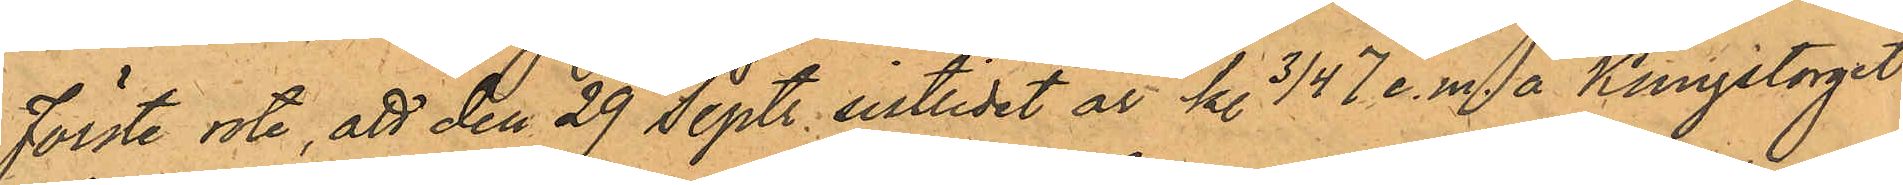Förste rote, att den 29 Sept. sistlidet år kl. 3/4 7 e. m. å Kungstorget
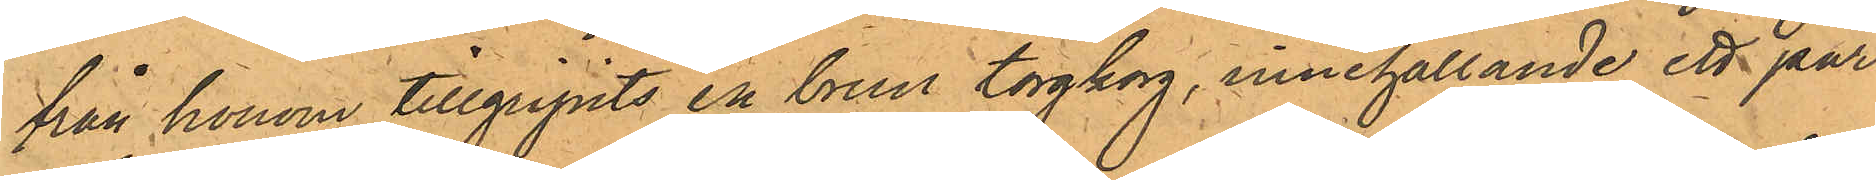från honom tillgripits en brun torgkorg, innehållande ett par
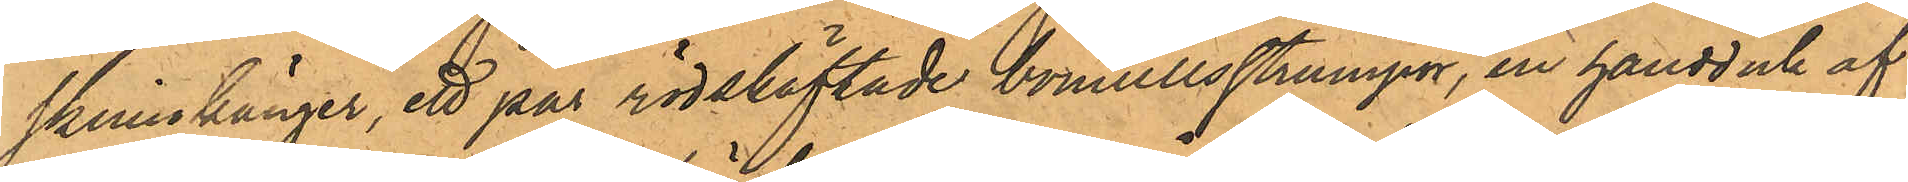skinnkänger, ett par rödskäftade bomullsstrumpor, en handd uck af
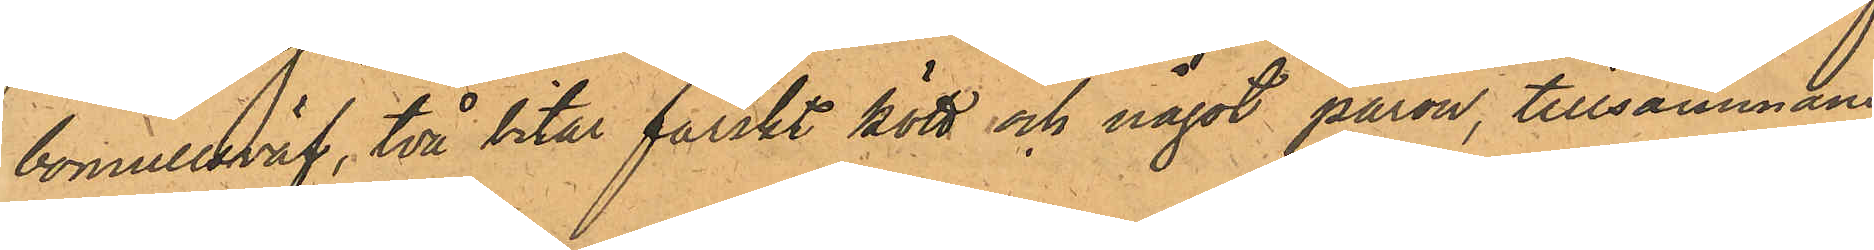bomullsväf, två bitar färskt kött och något päron, tillsammans
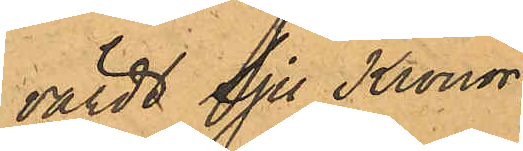värdt Sju Kronor;
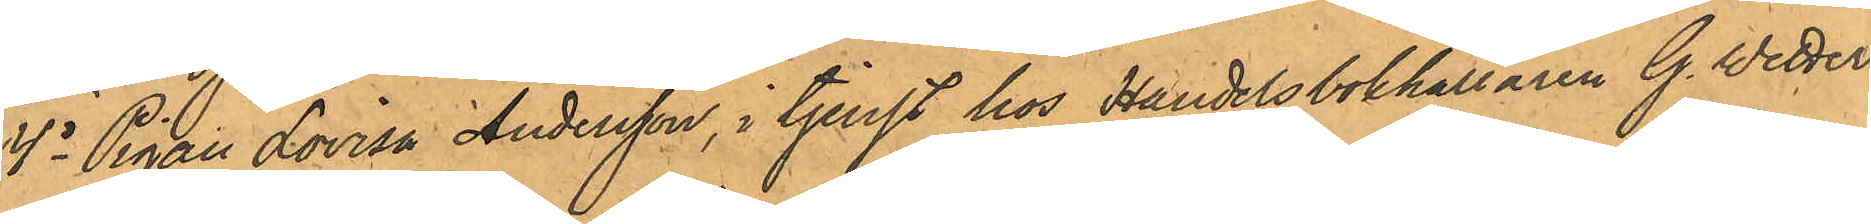4o Pigan Lovisa Andersson, i tjenst hos Handelsbokhållaren G. Wetter¬
